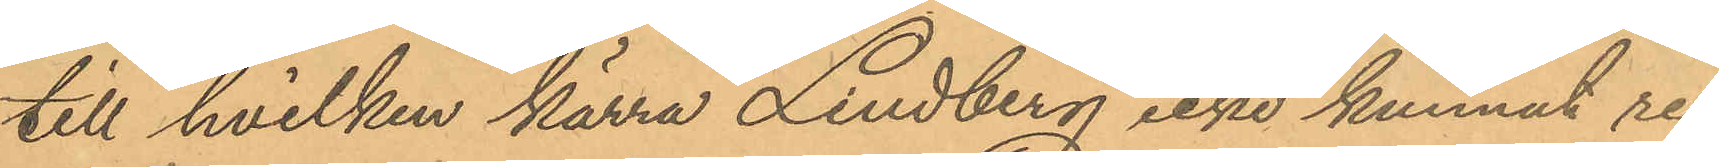till hvilken kärra Lindberg icke kunnat re¬
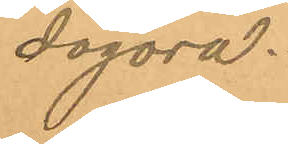dogöra.
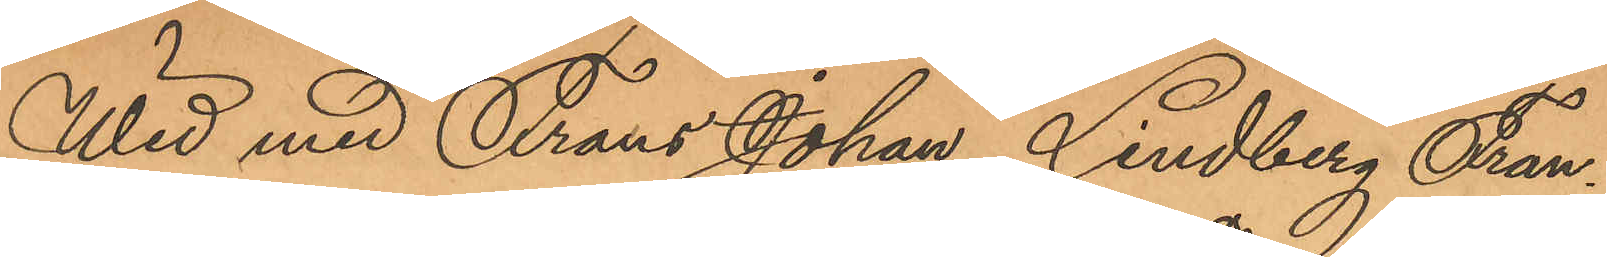Wid med Frans Johan Lindberg Fran¬
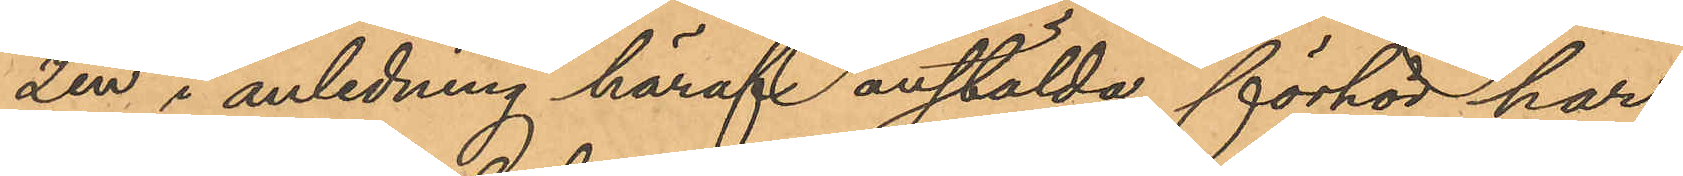zén i anledning häraf anstälda förhör har
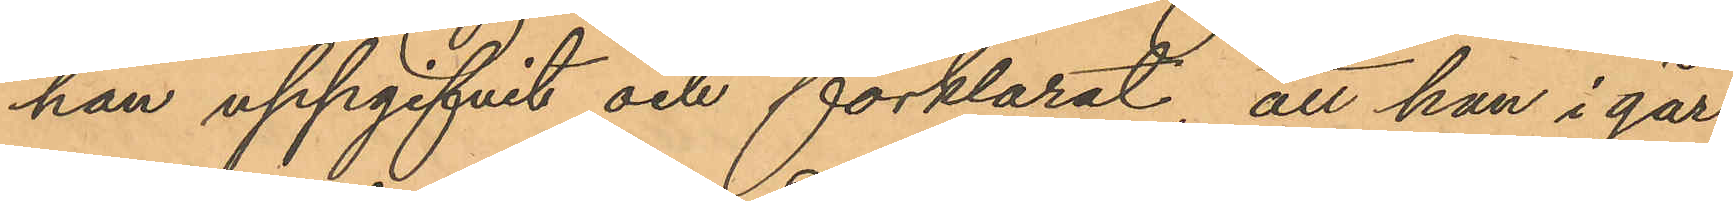han uppgifvit och förklarat, att han i går
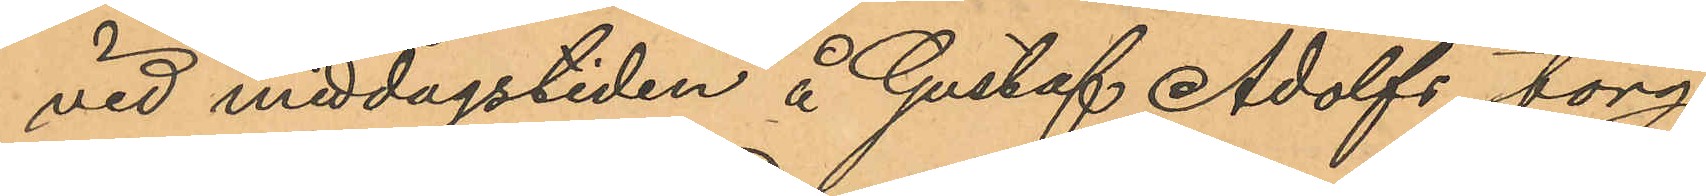vid middagstiden å Gustaf Adolfs torg
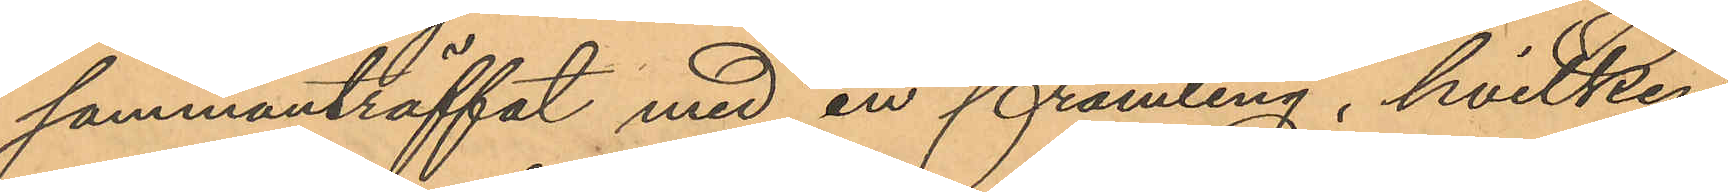sammanträffat med en främling, hvilken
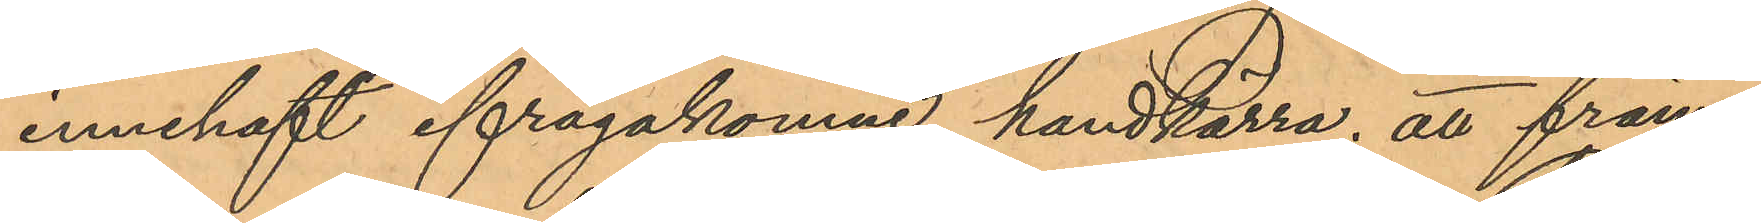innehaft ifrågakomne handkärra, att främ¬
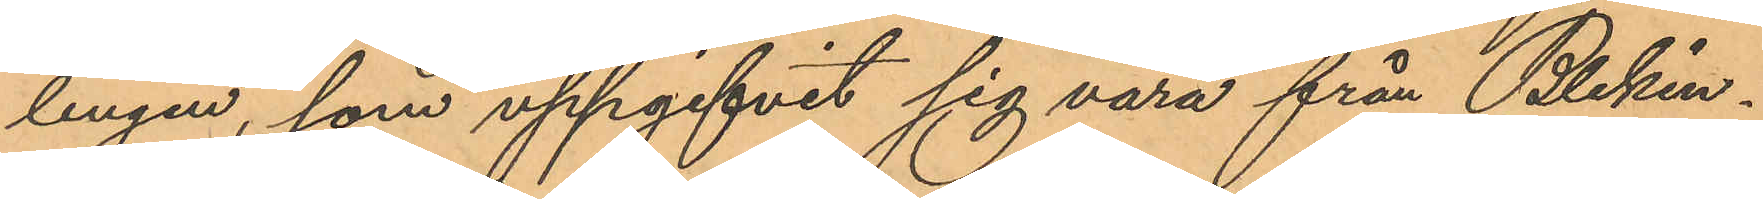lingen, som uppgifvit sig vara från Blekin¬
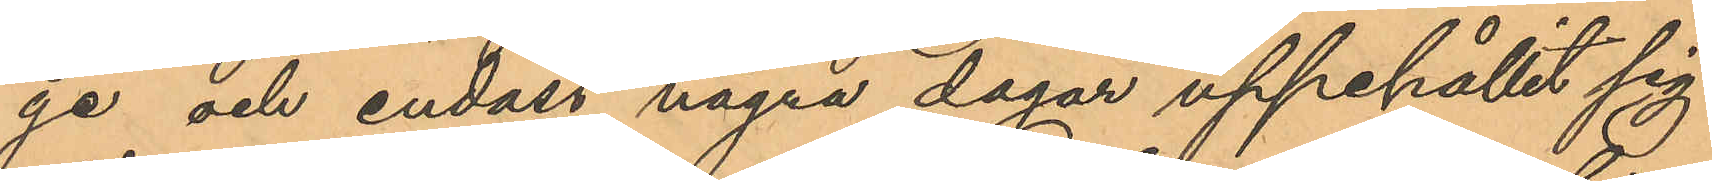ge och endast några dagar uppehållit sig
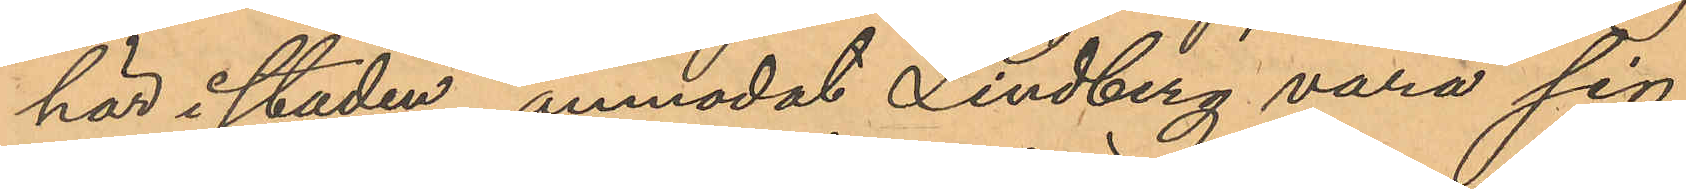här i staden, anmodat Lindberg vara sig
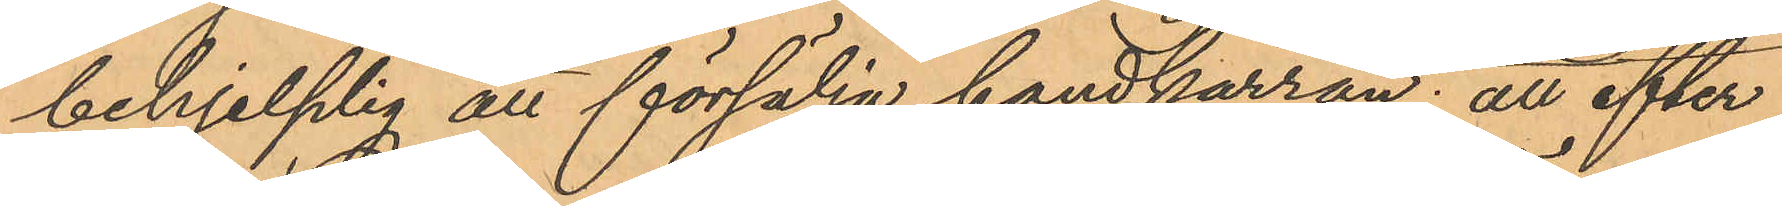behjelplig att försälja handkärran; att efter
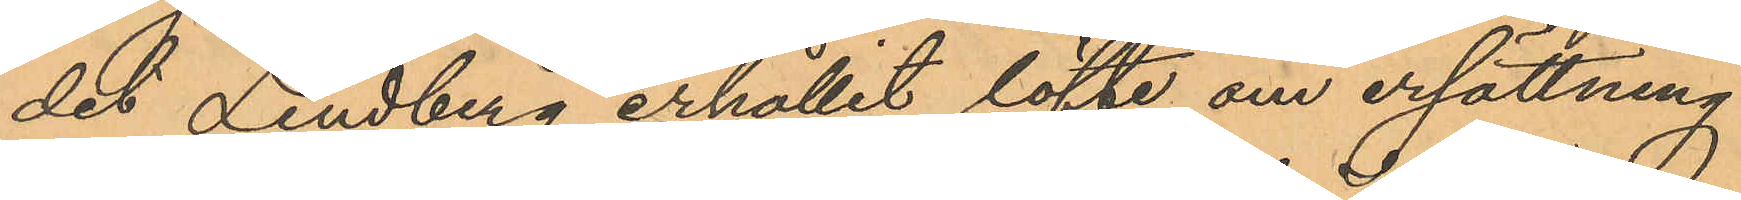det Lindberg erhållit löfte om ersättning
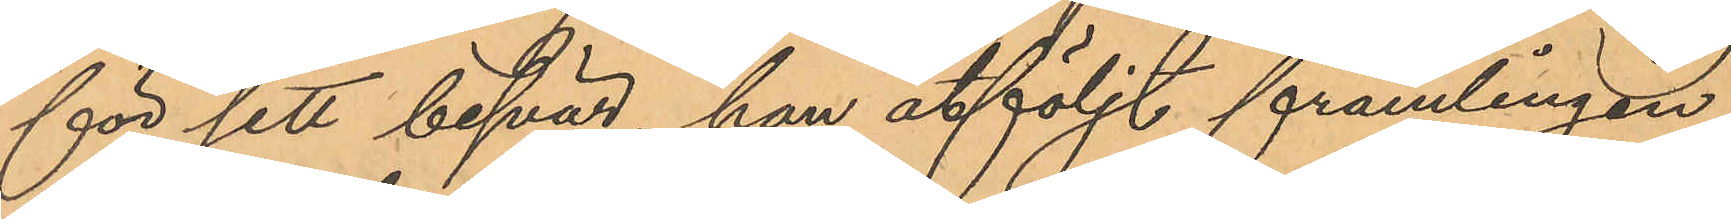för sitt besvär, han åtföljt främlingen,
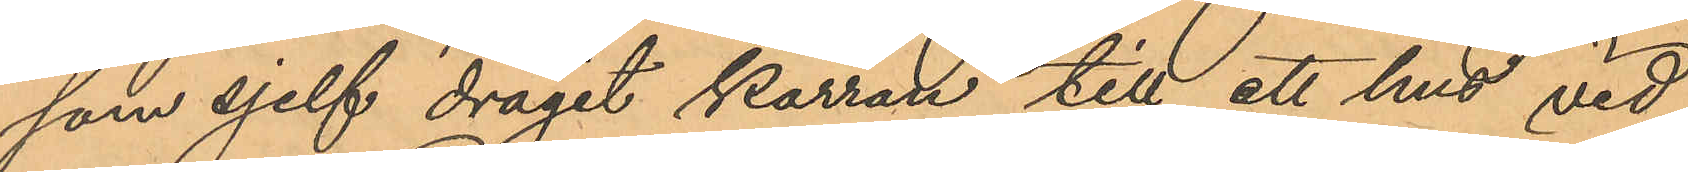som sjelf dragit kärran till ett hus vid
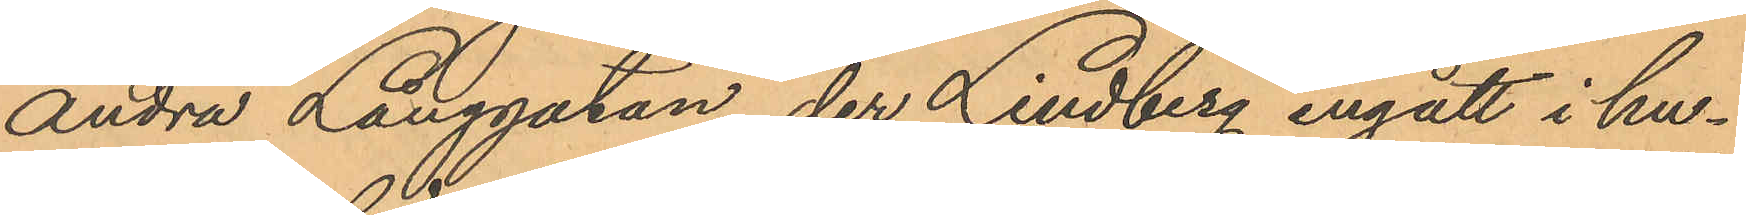Andra Långgatan, der Lindberg ingått i hu¬
